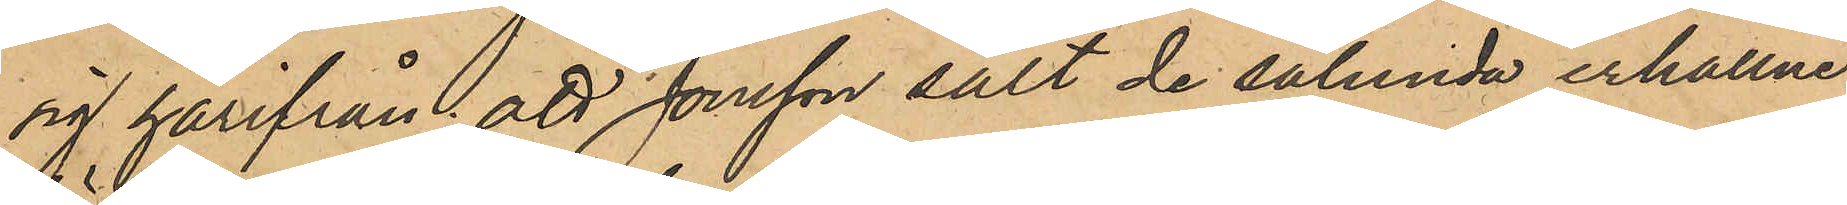sig härifrån; att Jonsson sålt de sålunda erhållne
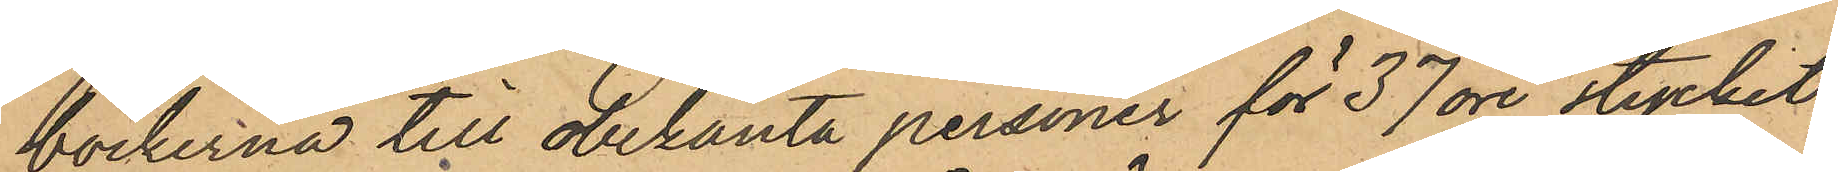böckerna till obekanta personer för 37 öre stycket;
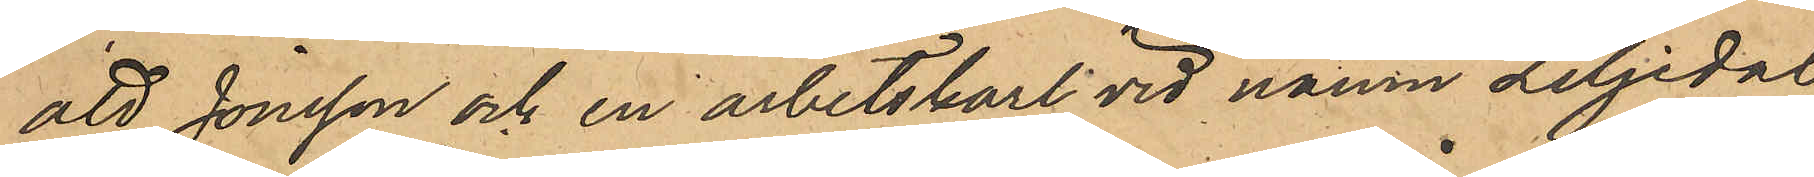att Jonsson och en arbetskarl vid namn Liljedal
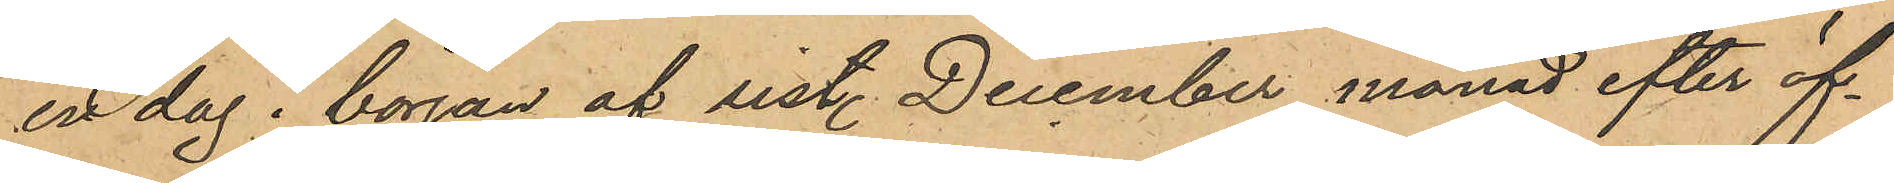en dag i början af sist. December månad efter öf¬ 
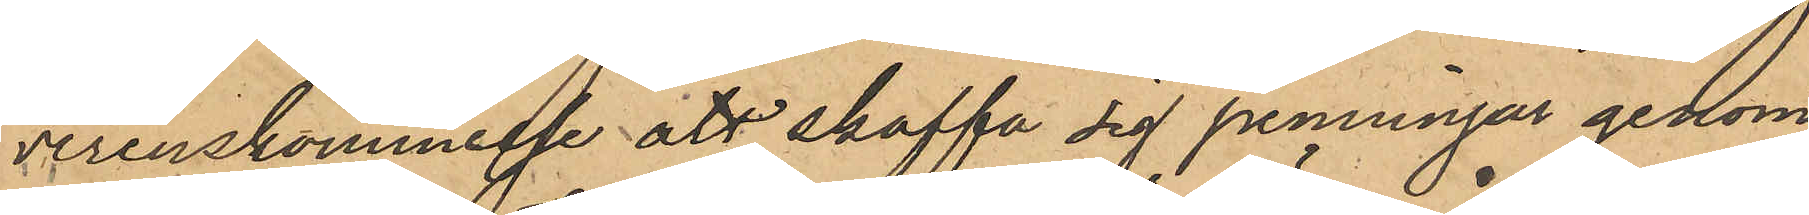verenskommelse att skaffa sig penningar genom
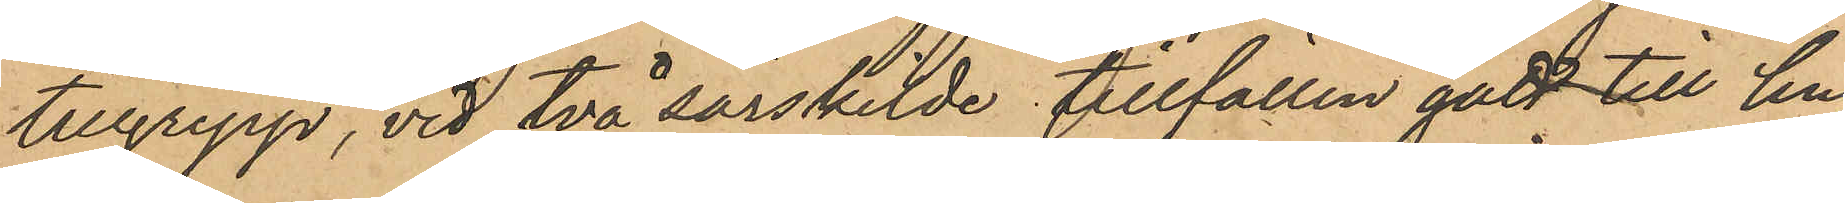tillgrepp, vid två särskilde tillfällen gått till hu-
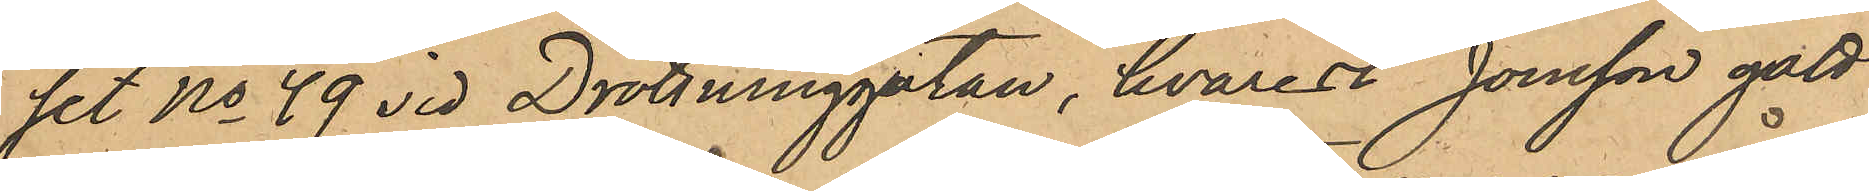set No 49 vid Drottninggatan, hvarest Jonsson gått
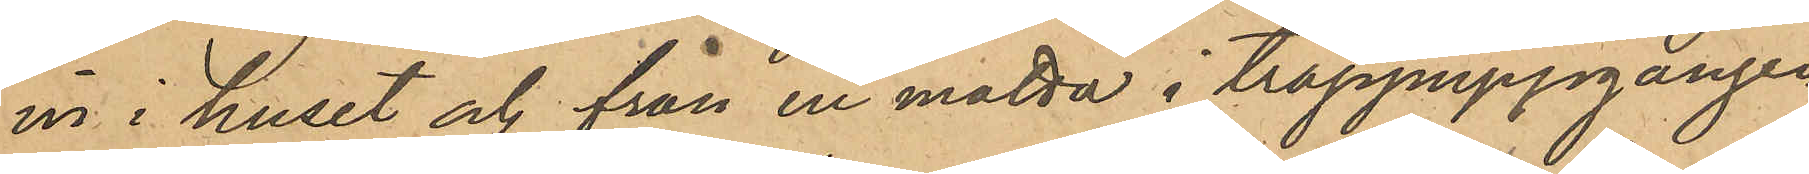in i huset och från en matta i trappuppgången
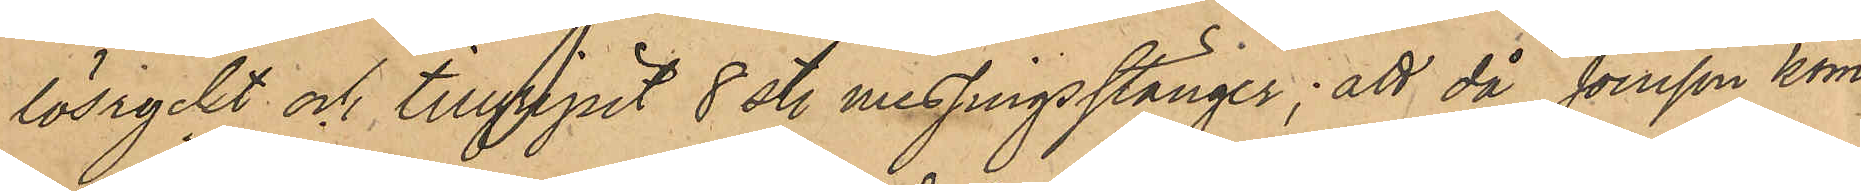lösryckt och tillgripit 8 st. messingsstänger; att då Jonsson kom¬
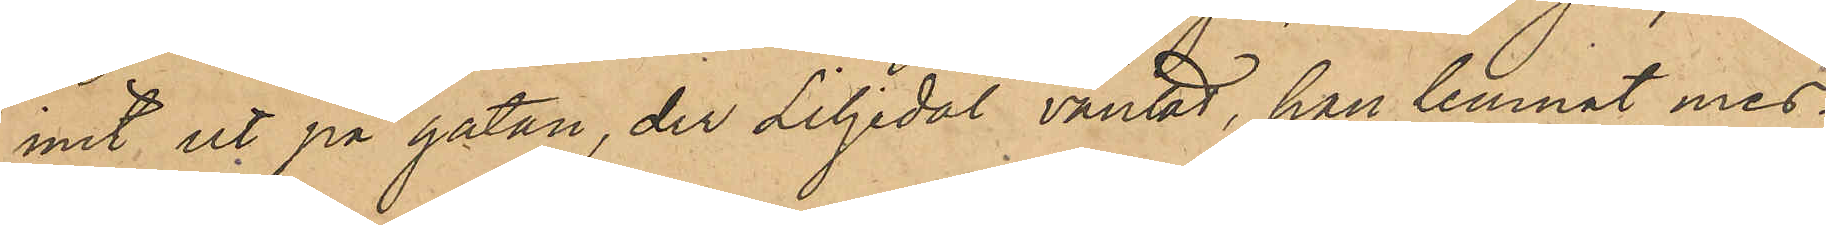mit ut på gatan, der Liljedal väntat, han lemnat mes¬
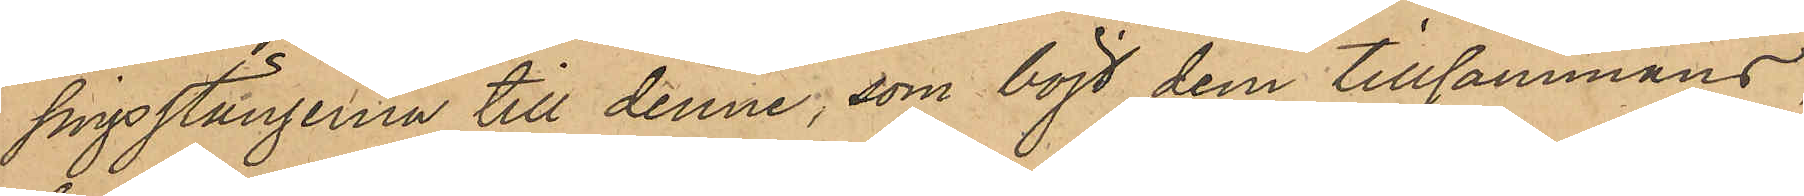singstängerna till denne, som böjt dem tillsammans,
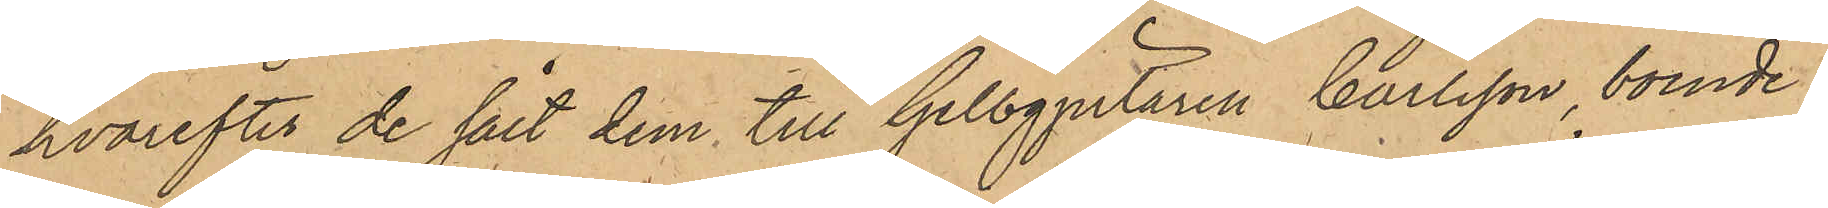hvarefter de sålt dem till Gelbgjutaren Carlsson, boende i
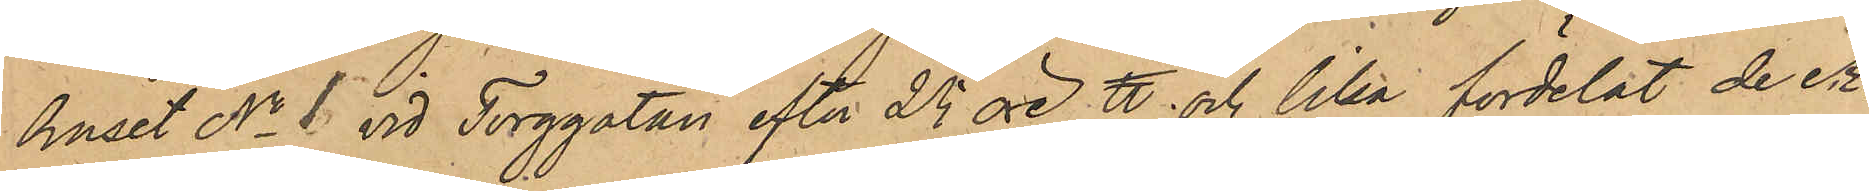huset No 1 vid Torggatan efter 25 öre ℔ och lika fördelat de er¬
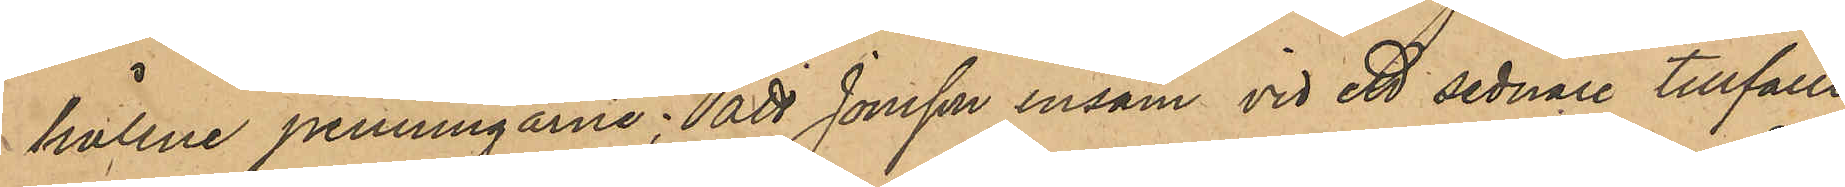hållne penningarne; att Jonsson ensam vid ett sednare tillfälle
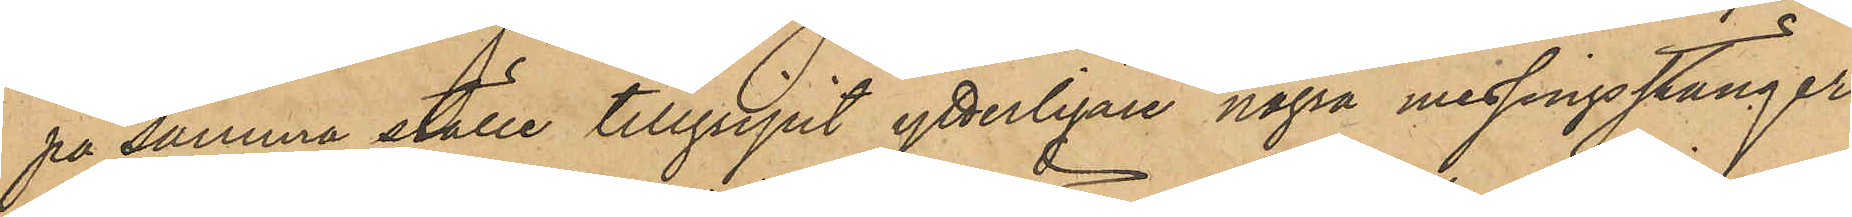på samma ställe tillgripit ytterligare några messingstänger,
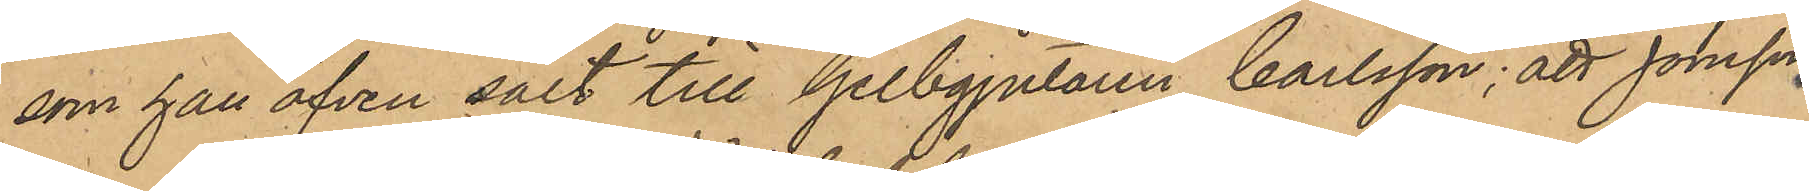som han äfven sålt till Gelbgjutaren Carlsson; att Jonsson
